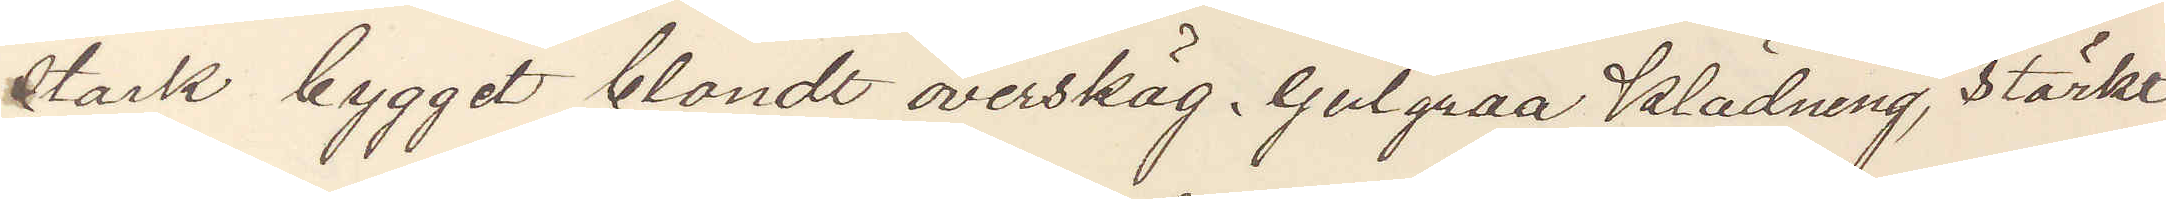starl bygget blondt overskäg, Gulgraa Klädning, stärkt
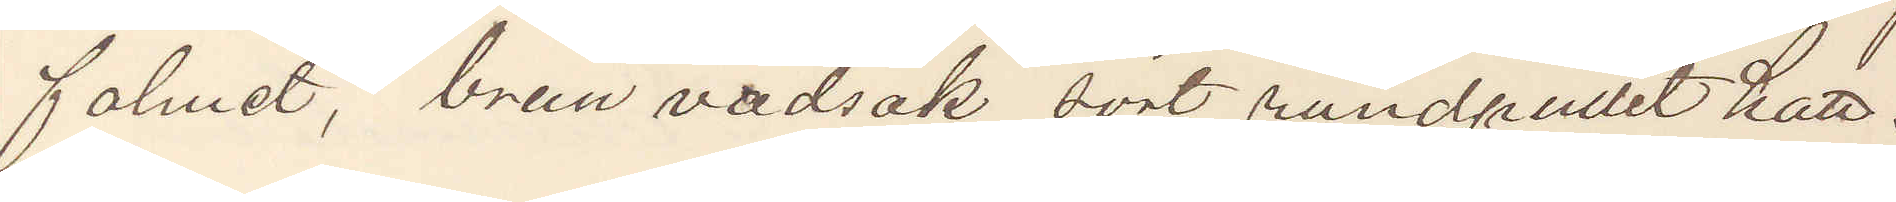fohnet, brun vadsäk sort rundpullet hatt.
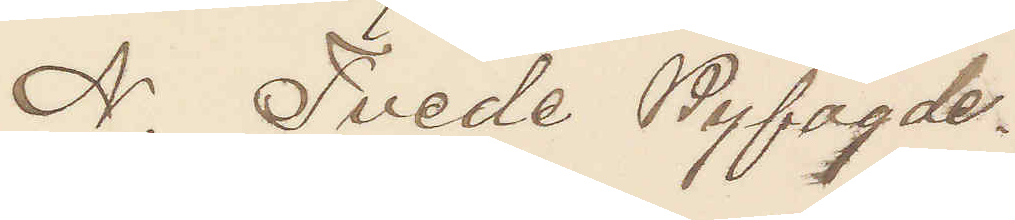N. Tvede Byfogde.
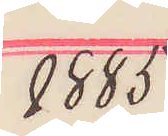1885
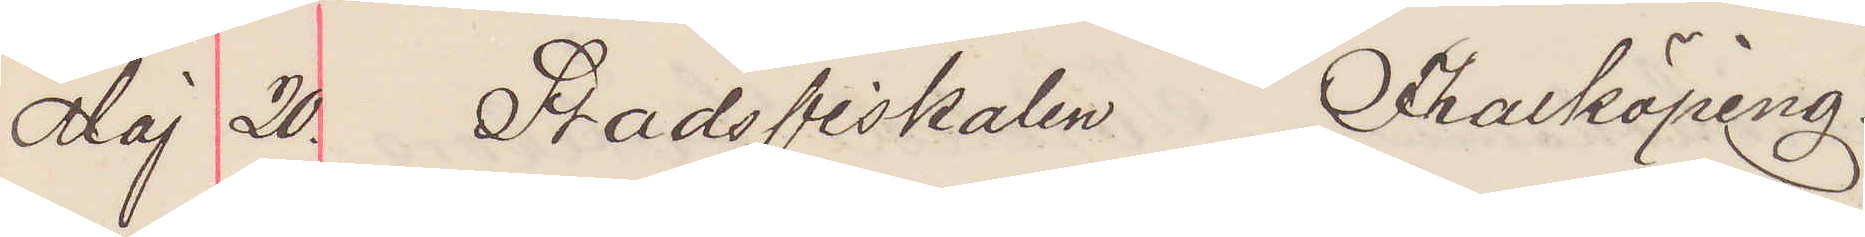Maj 20. Stadsfiskalen Falköping.
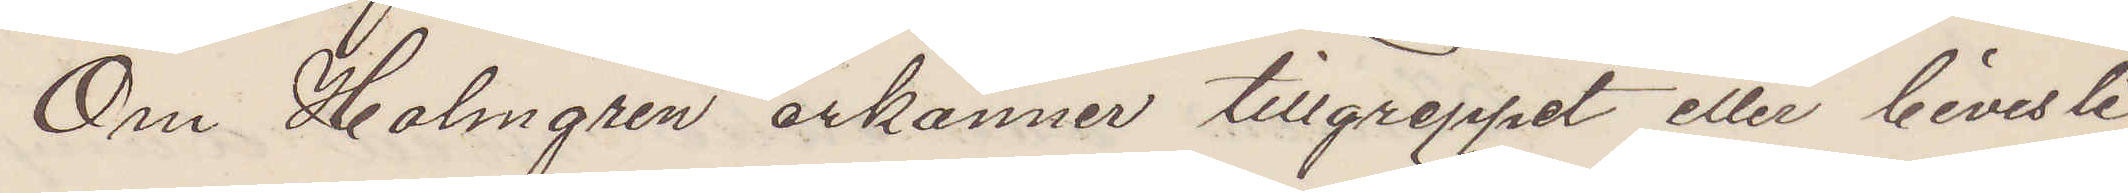Om Holmgren erkänner tillgreppet eller bevisli¬
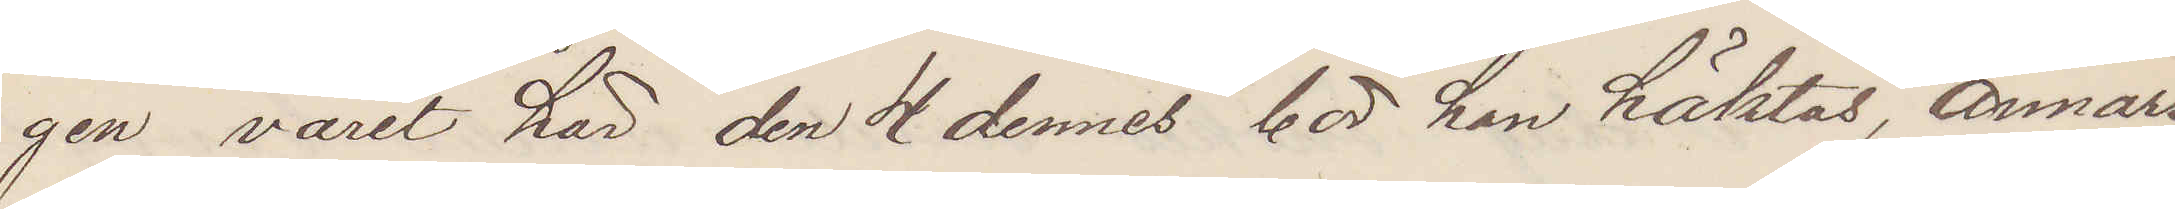gen varit här den 4 dennes bör han häktas, annars
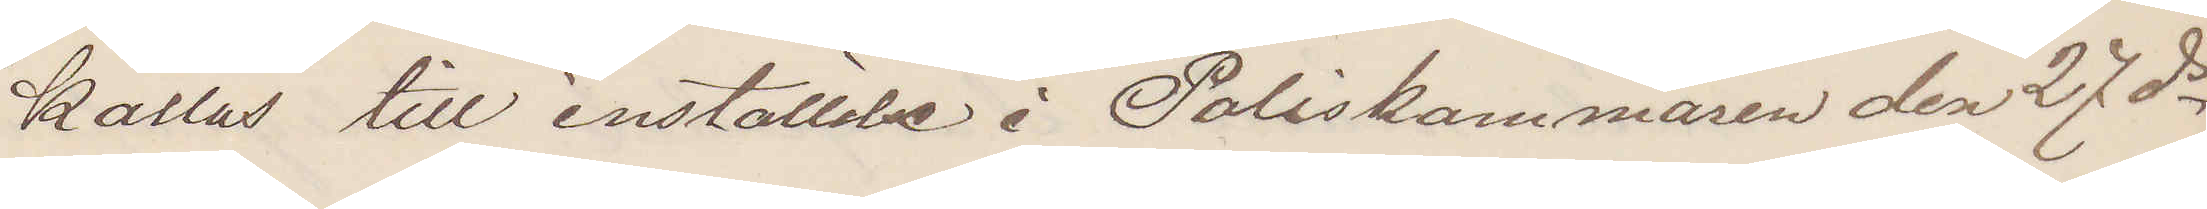kallas till inställelse i Poliskammarne den 27 ds
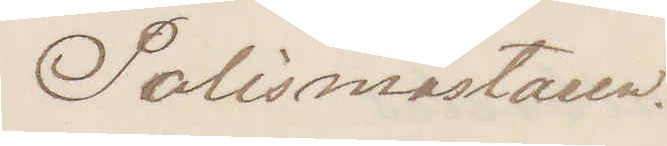Polismästaren.
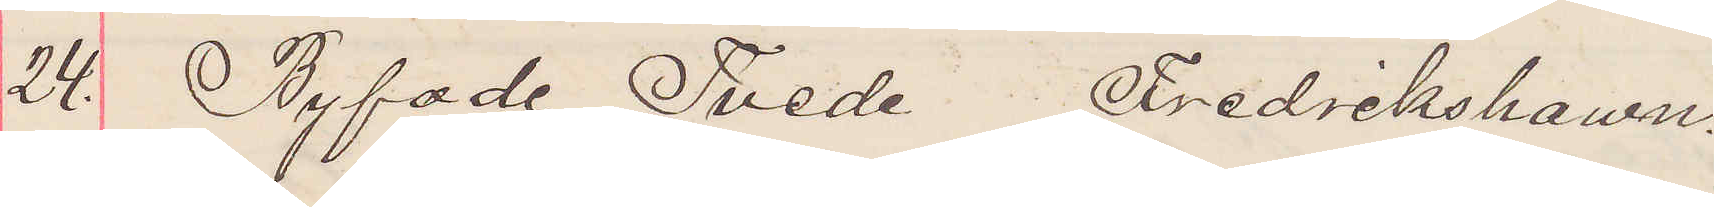24. Byfode Tvede Frdrikshawn.
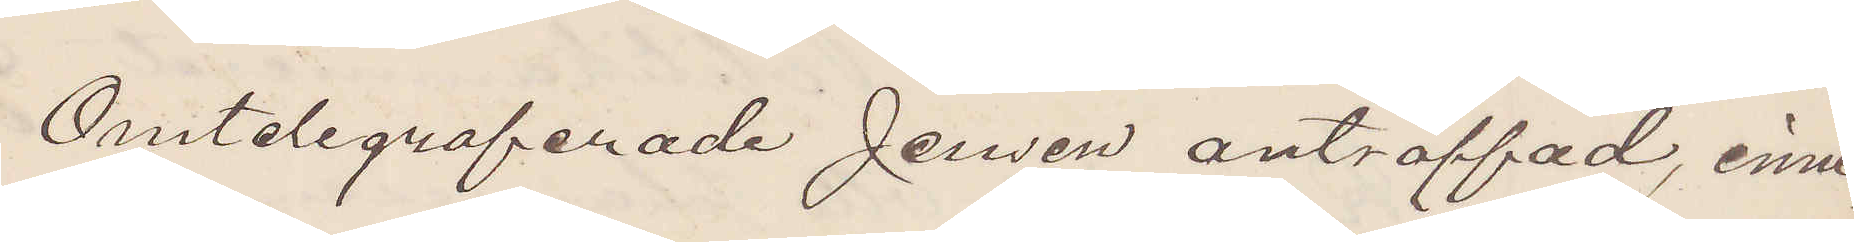Omtelegraferade Jensen anträffad, inne¬
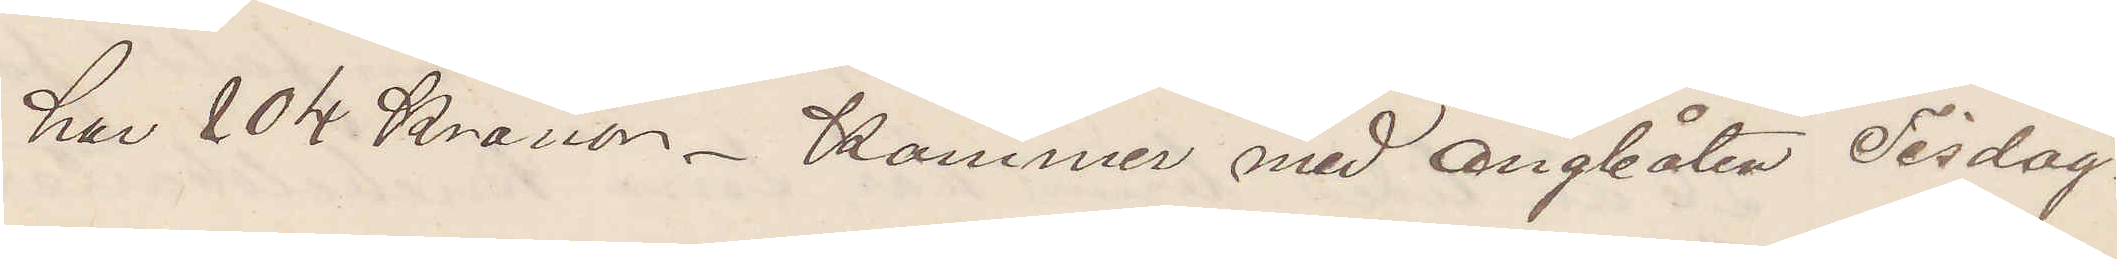har 104 Kronor. Kommer med ångbåten Tisdag.
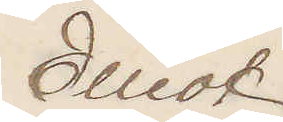Elliot
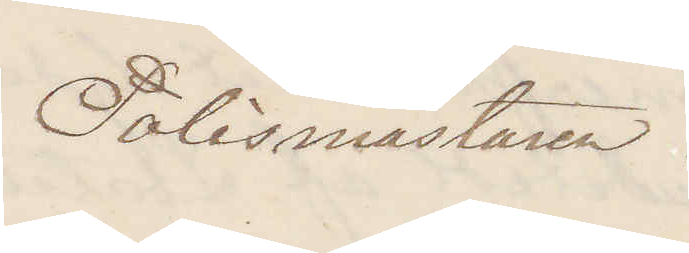Polismästaren.
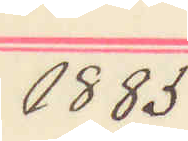1885
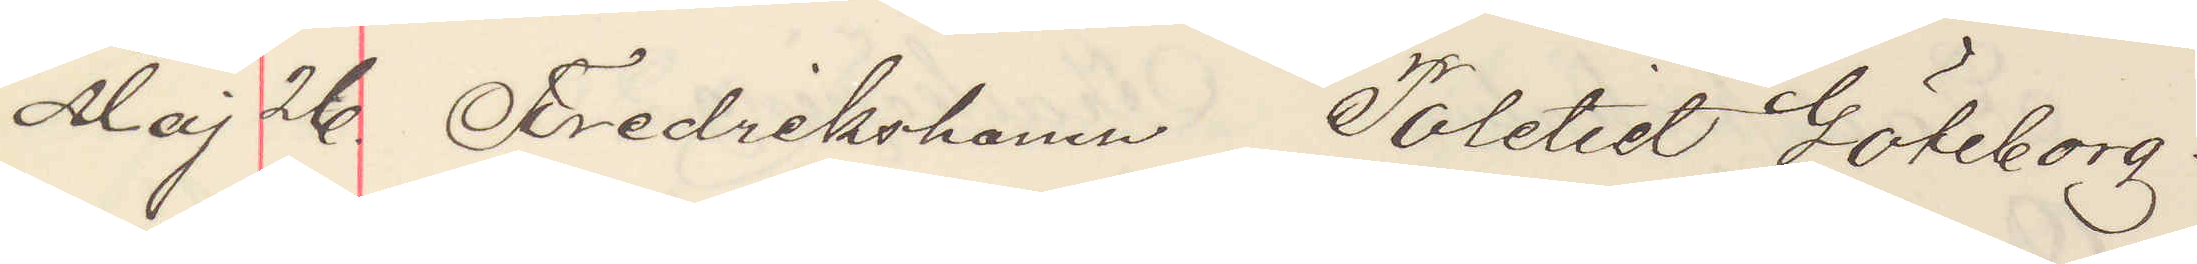Maj 26. Fredrikshamn Politiet Göteborg.
